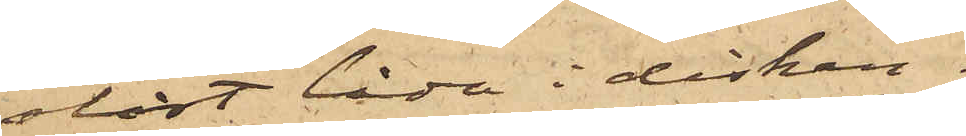olåst låda i disken.
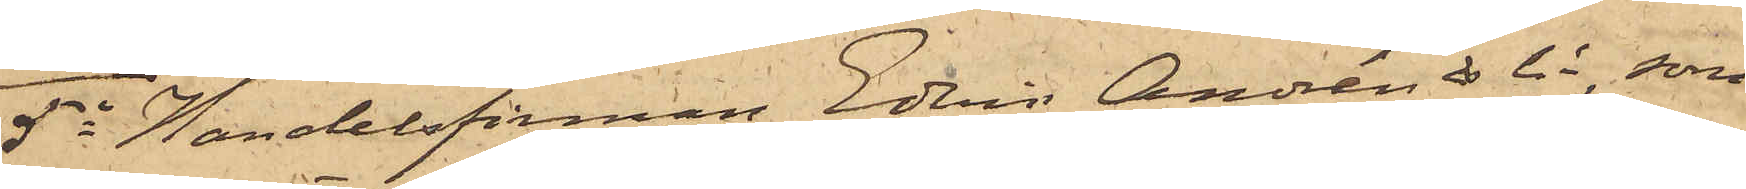5o Handelsfirman Edvin Andrén & Co, som
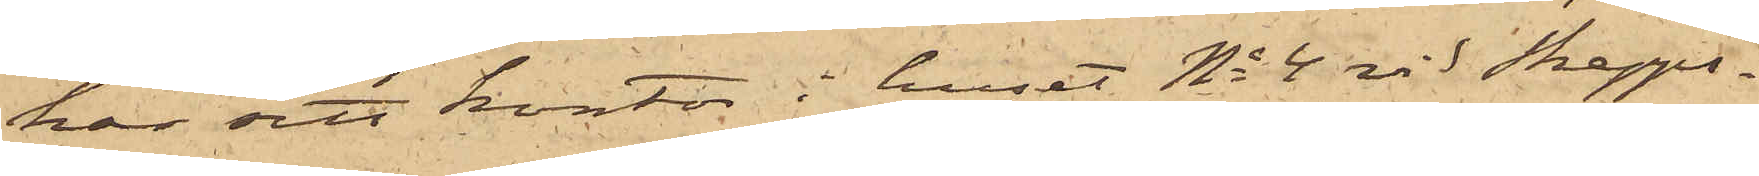har sitt kontor i huset No 4 vid Skepps¬
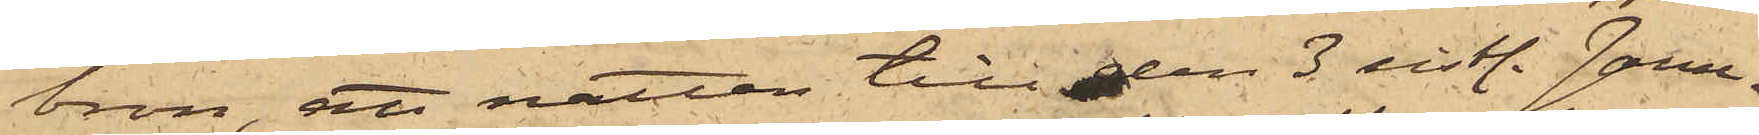bron, att natten till den 3 sistl. Janu¬
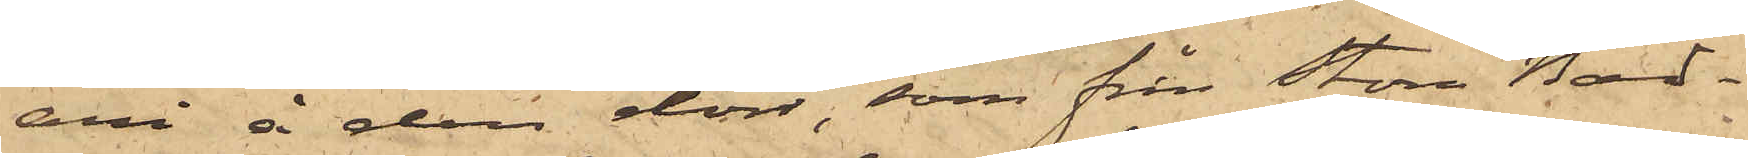ari å den dörr, som från Stora Bad¬
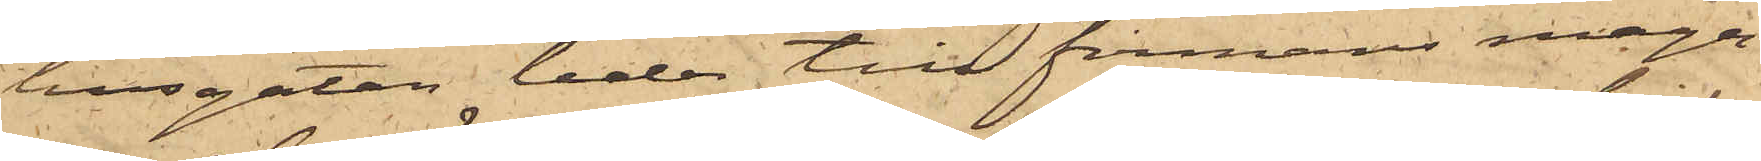husgatan leder till firmans maga¬
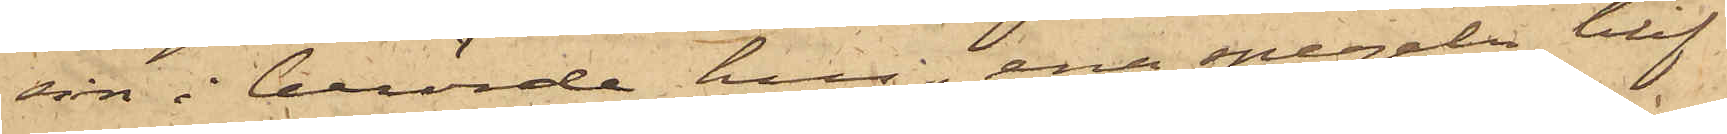sin i berörde hus, ena spegeln blif¬
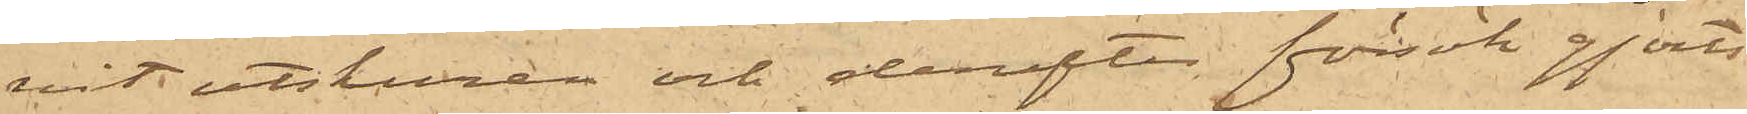vit utskuren och derefter försök gjorts
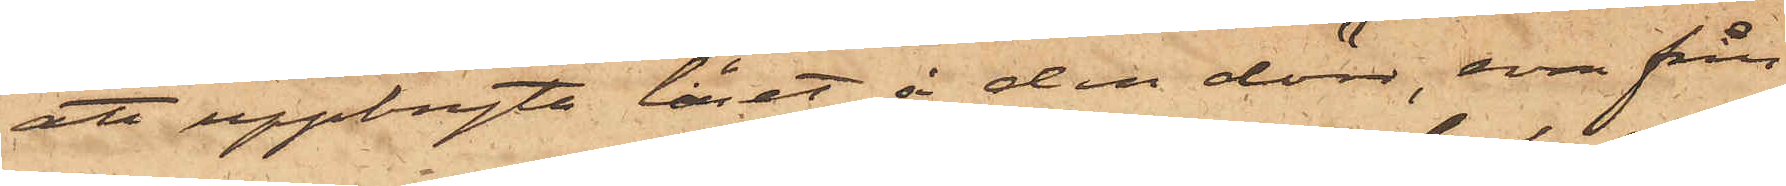att uppbryta låset å den dörr, som från
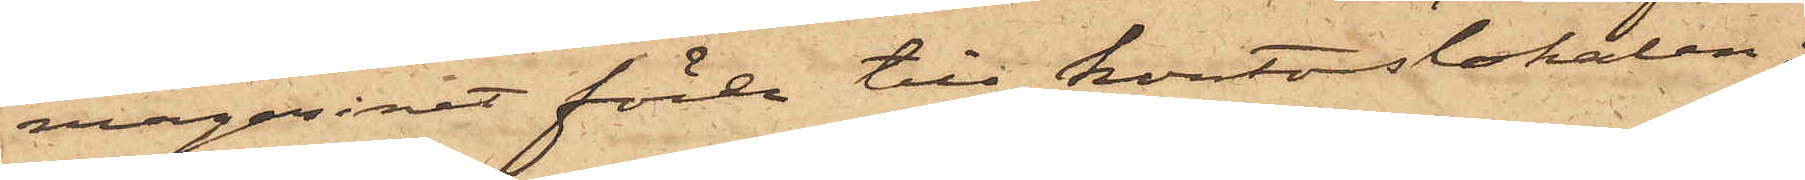magasinet förde till kontorslokalen;
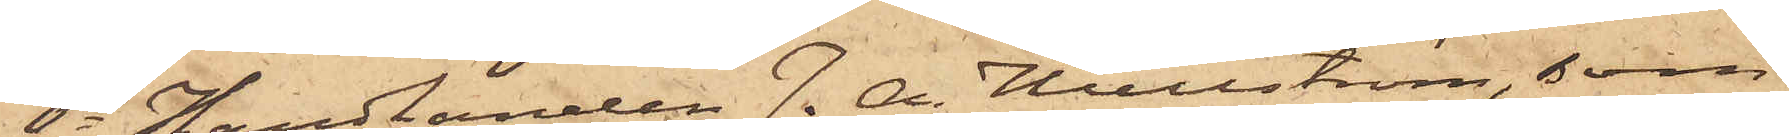6o Handlanden J. A. Hullström, som
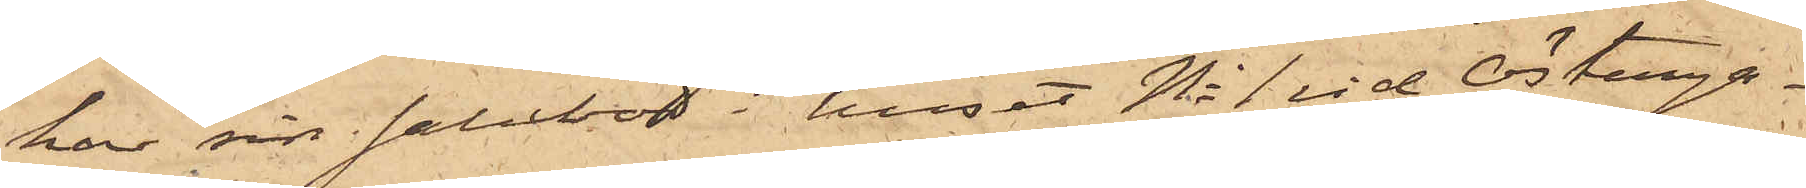har sin salubod i huset No 1 vid Österga¬
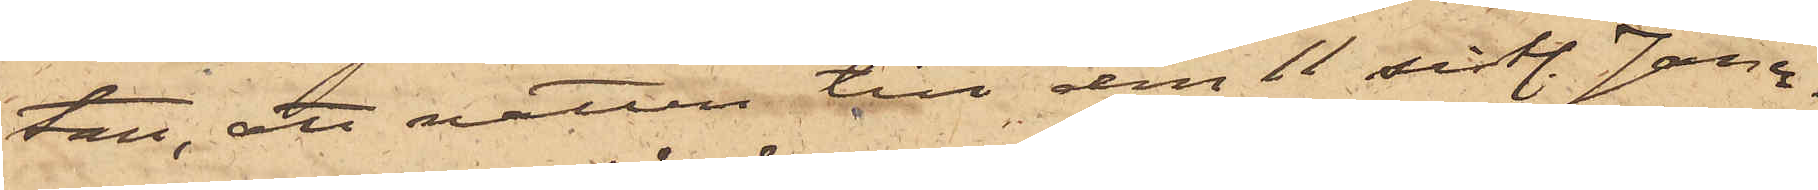tan, att natten till den 11 sistl. Janu¬
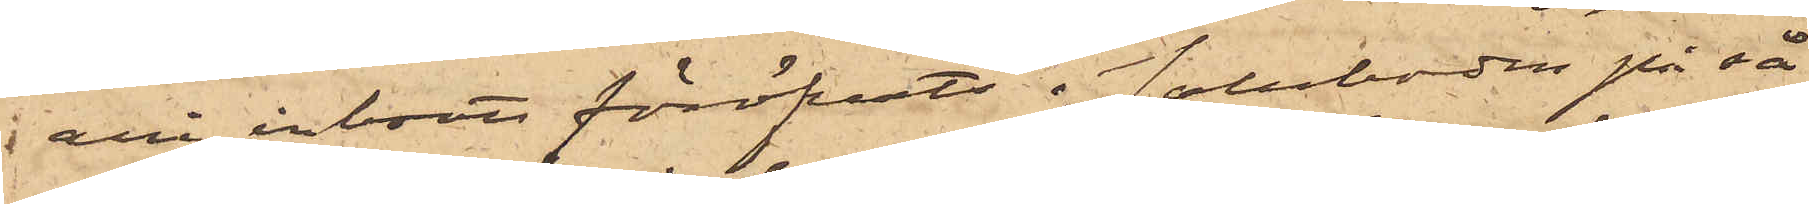ari inbrott föröfvats i saluboden på så
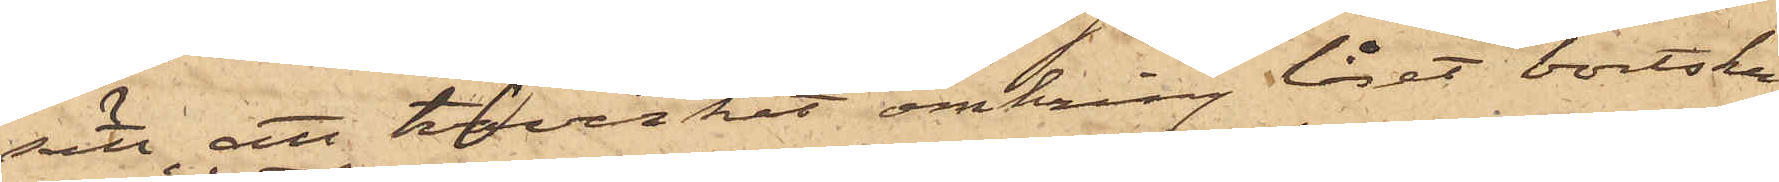sätt, att hvirket omkring låset bortsku¬
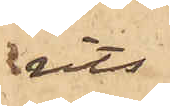rits
